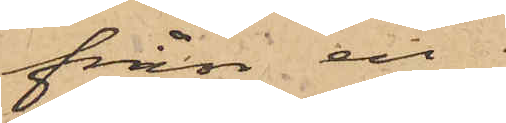från en
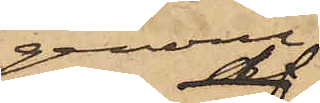genom
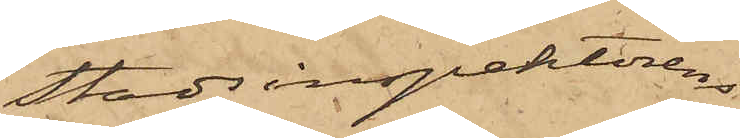Stadsinspektorens
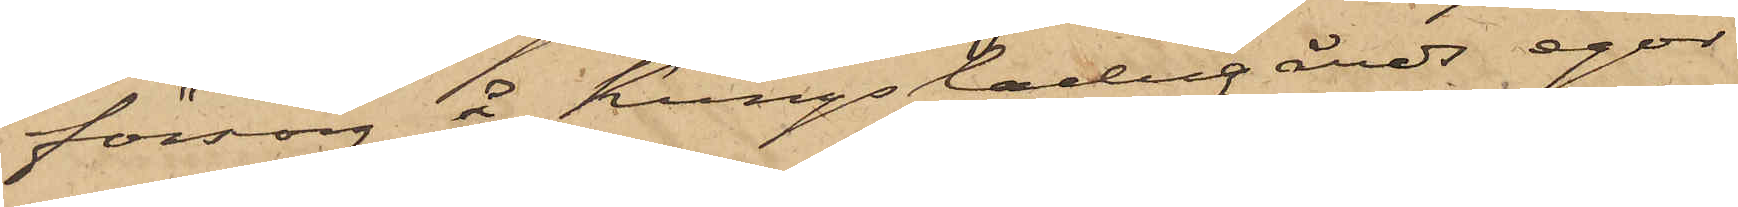försorg å Kungsladugårds egor
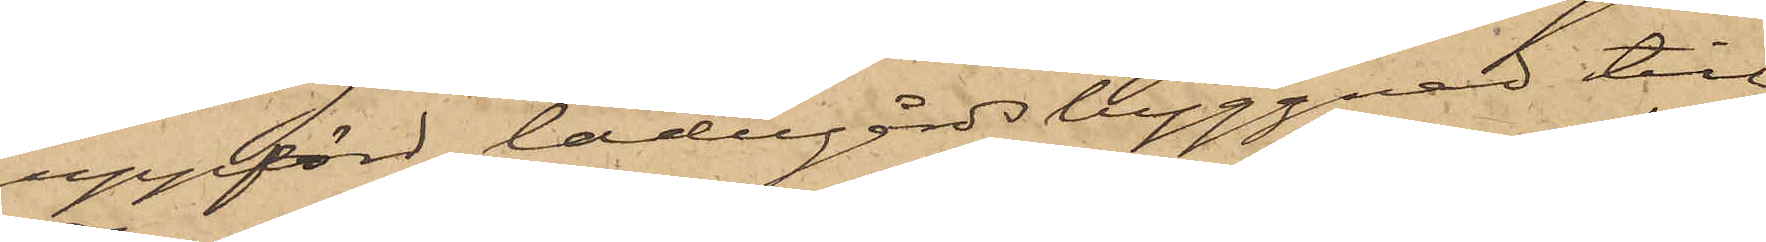uppförd ladugårdsbyggnad till
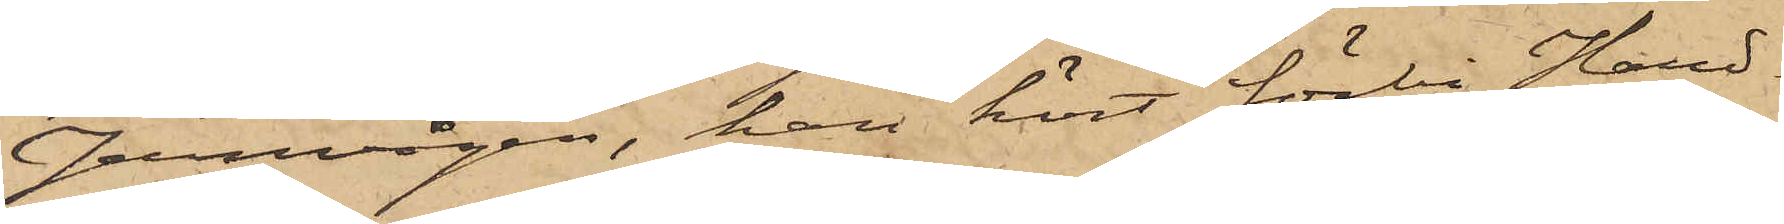Jernvågen, han kört förbi Hand¬
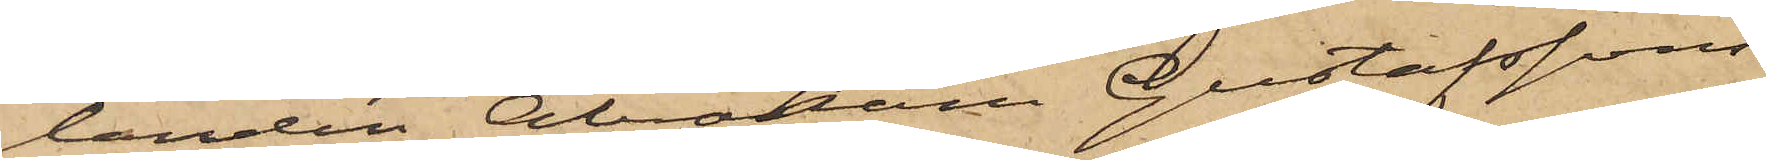landen Abraham Gustafssons
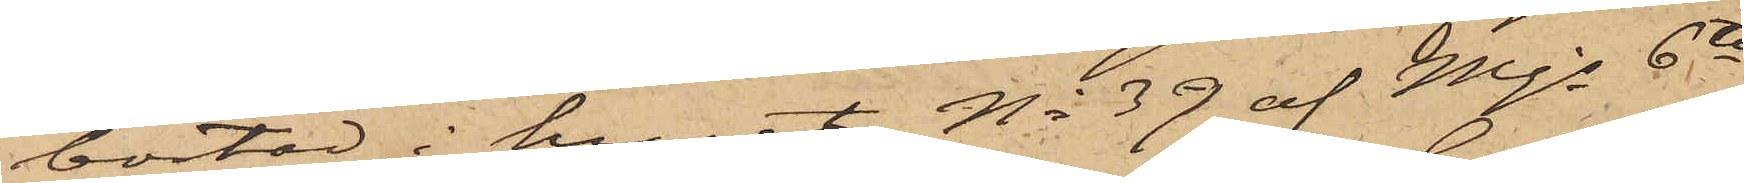bostad i huset No 39 af Mjs 6te
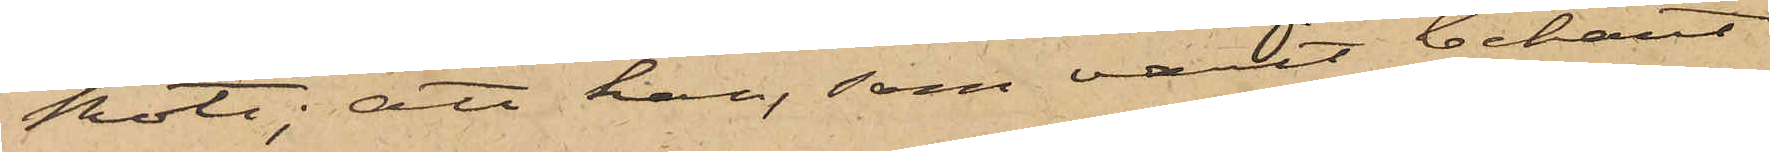Rote; att han, som varit bekant
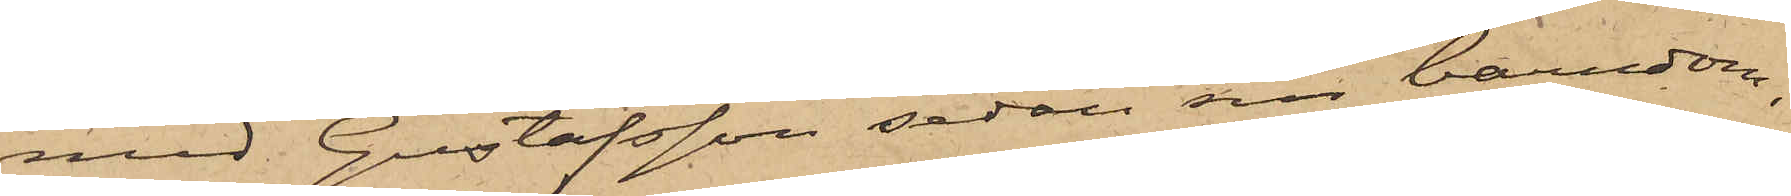med Gustafsson sedan sin barndom,
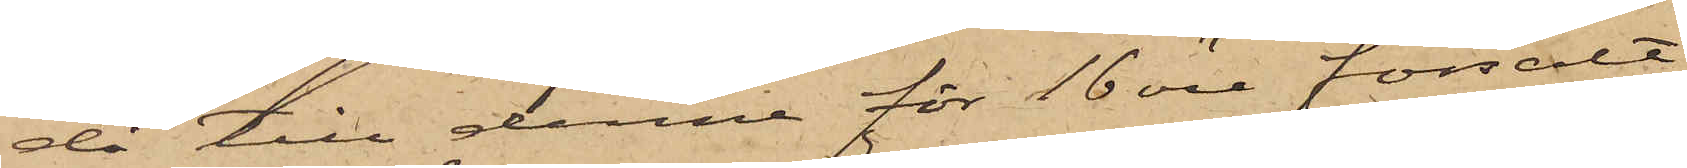då till denne för 16 öre försålt
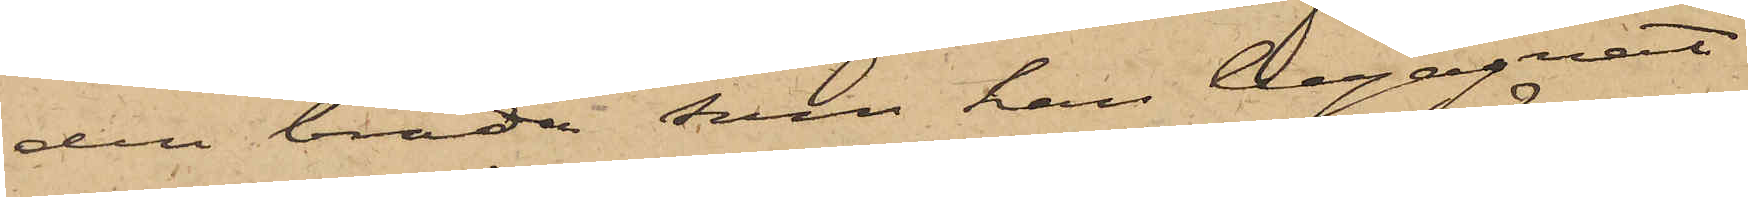den bräda, som han begagnat
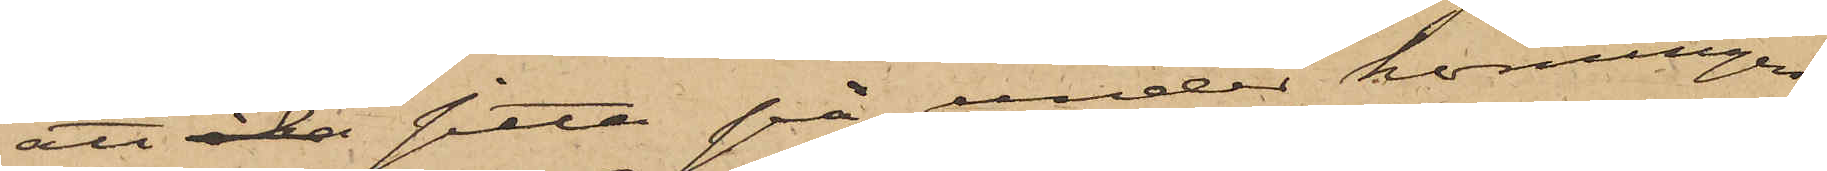att åka sitta på under körningen;
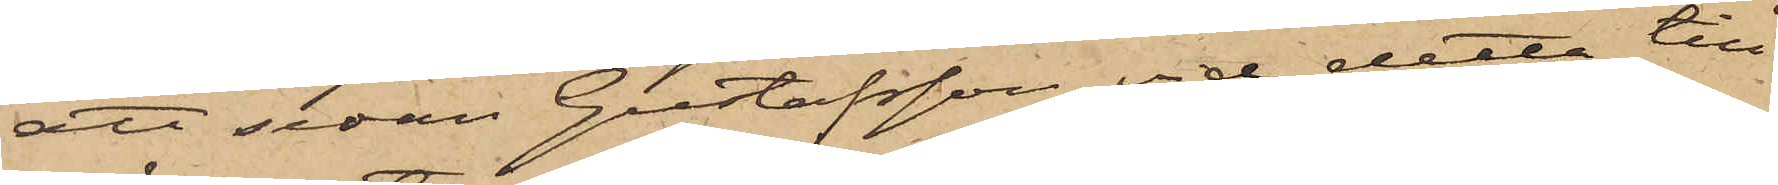att sedan Gustafsson vid detta till¬
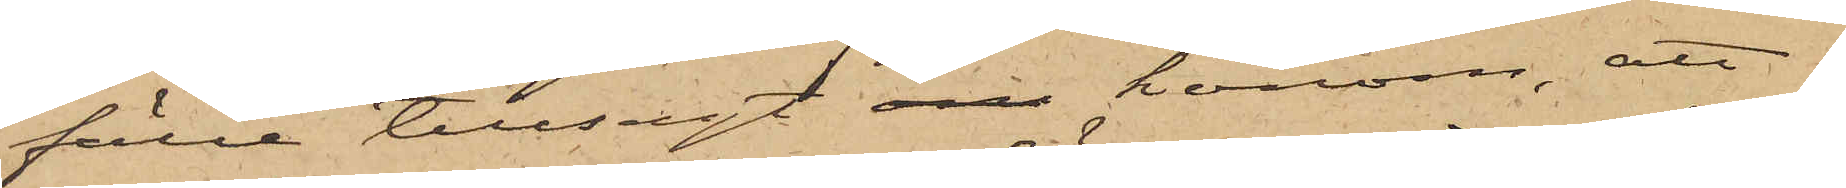fälle tillsagt om honom, att
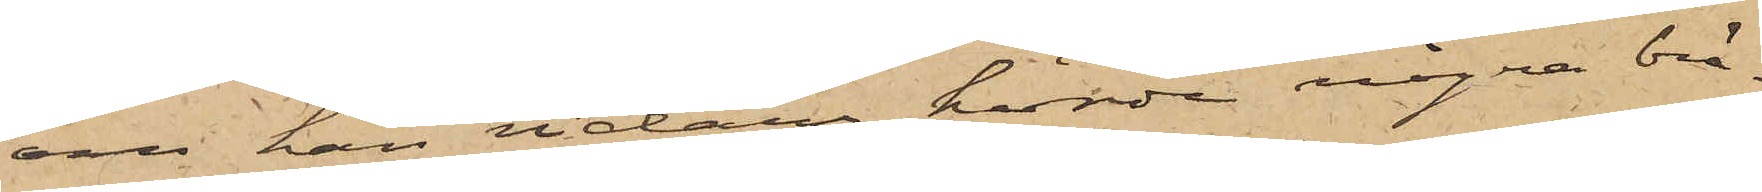om han vidare körde några brä¬
